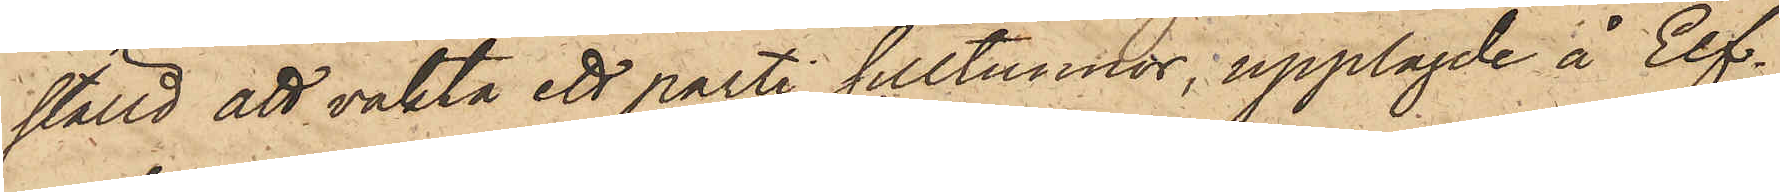ställd att vakta ett parti silltunnor, upplagde å Elf¬
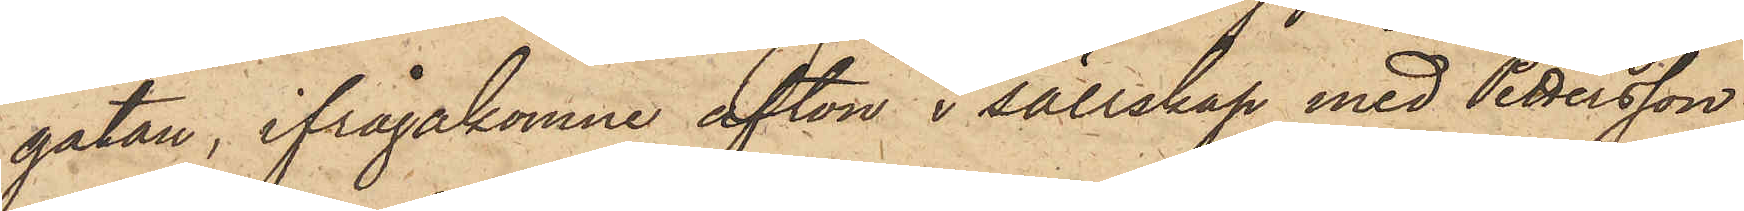gatan, ifrågakomne afton i sällskap med Pettersson
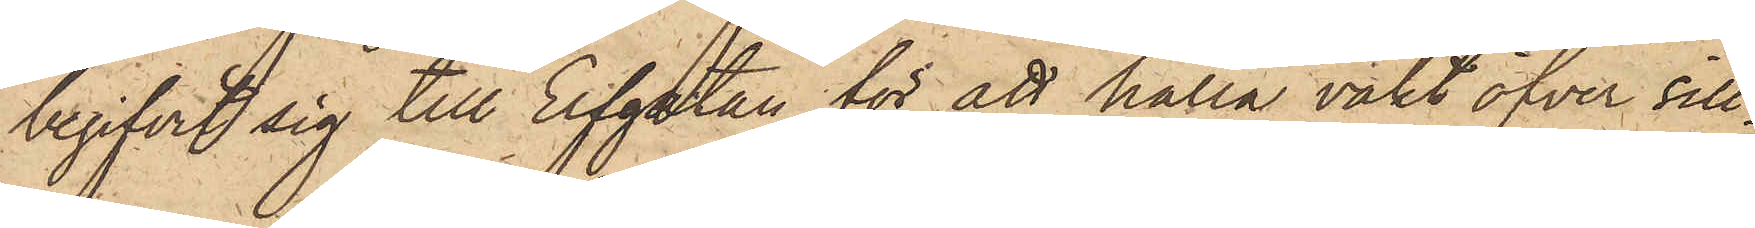begifvit sig till Elfgatan för att hålla vakt öfver sill¬
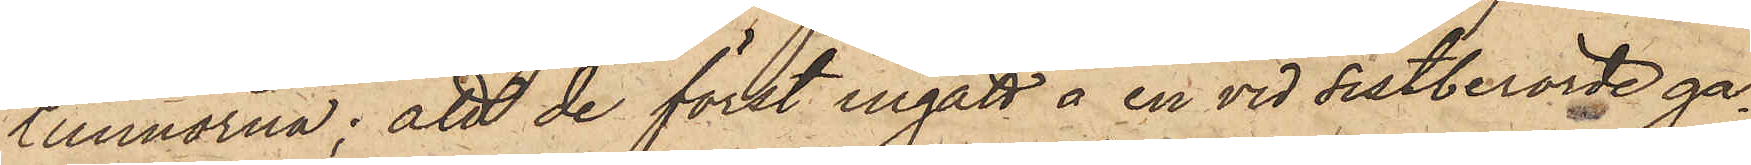tunnorna; att de först ingått å en vid sistberörde ga¬
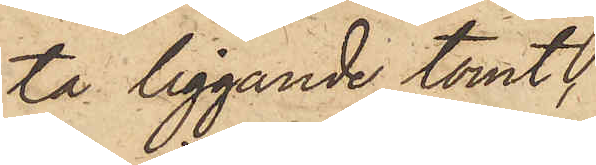ta liggande tomt,
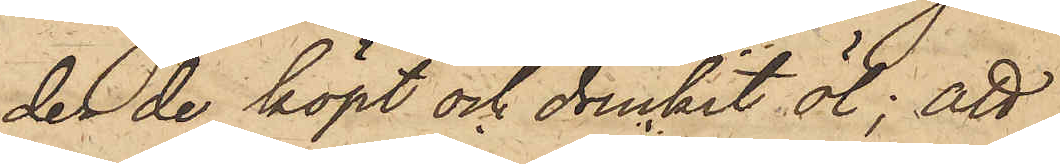der de köpt och druckit öl; att
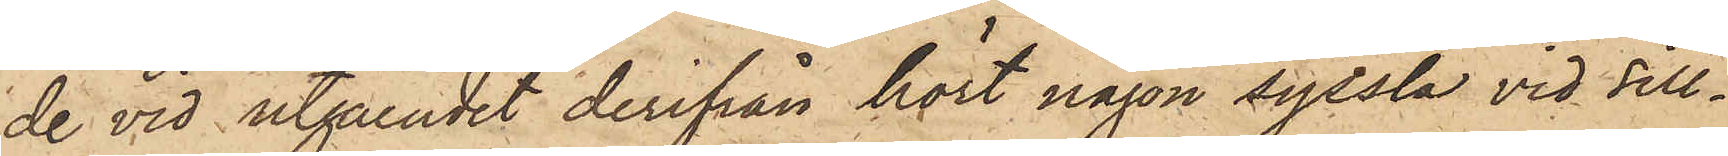de vid utgåendet derifrån hört någon syssla vid sill¬
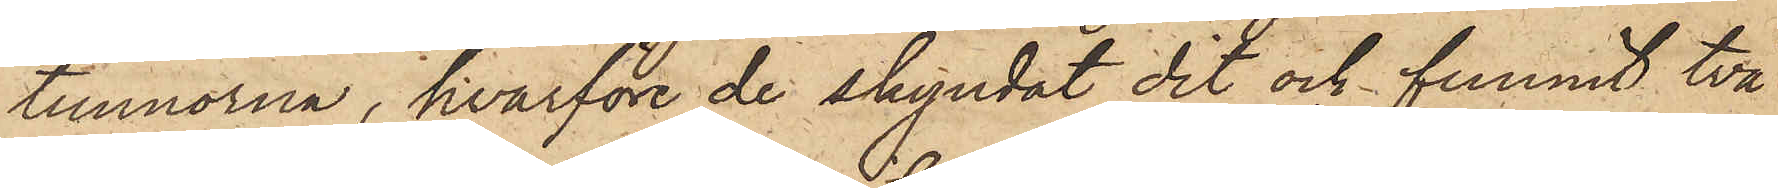tunnorna, hvarföre de skyndat dit och funnit två
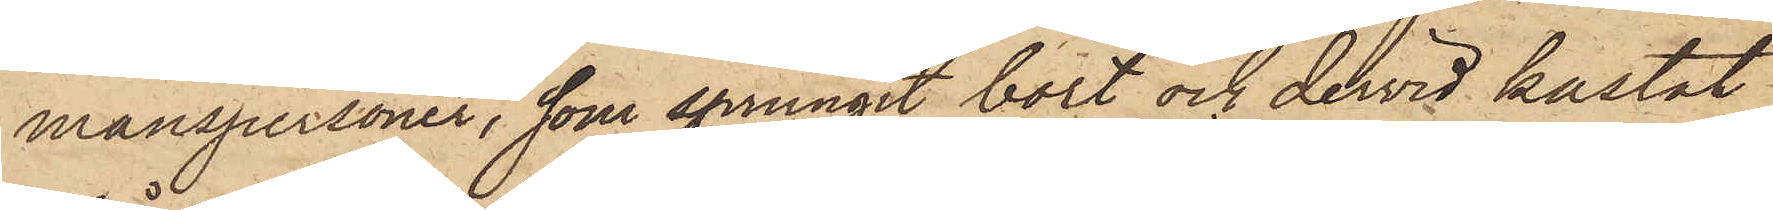manspersoner, som sprungit bort och dervid kastat
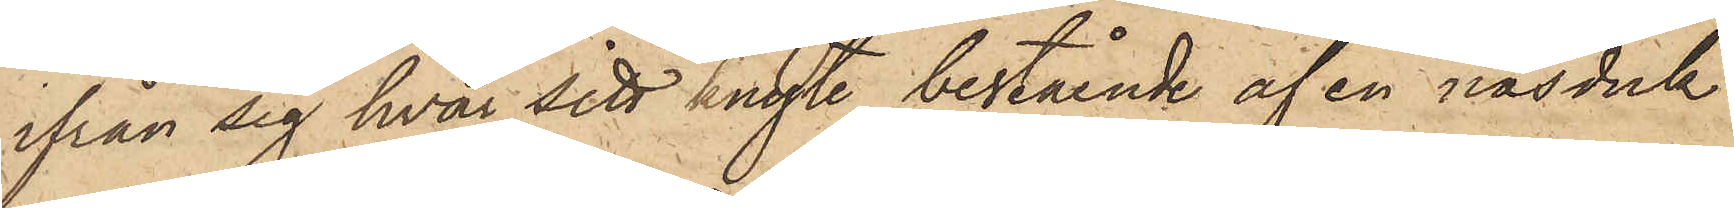ifrån sig hvar sitt knyte, bestående af en näsduk
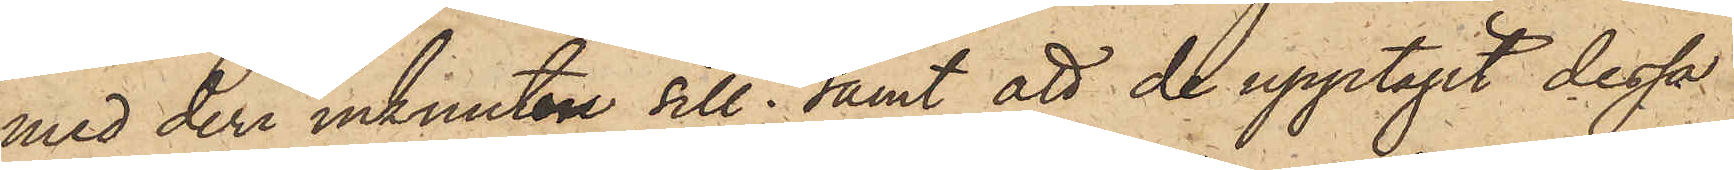med deri inknuten sill; samt att de upptagit dessa
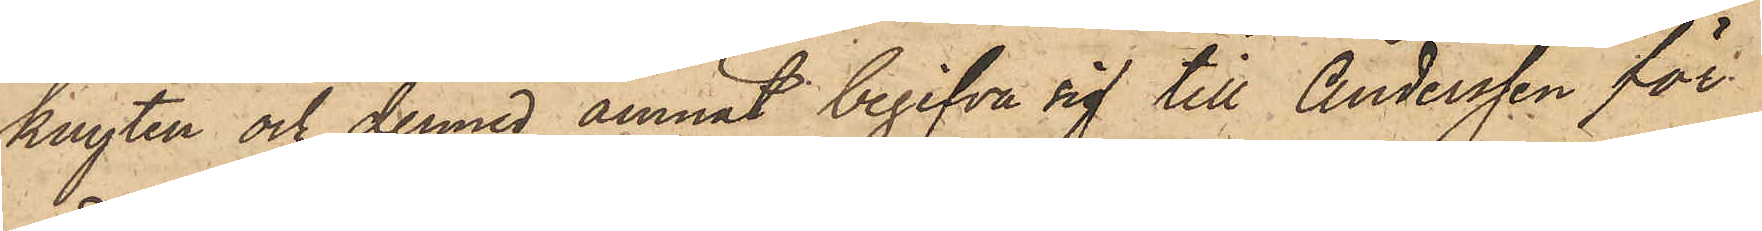knyten och dermed ämnat begifva sig till Andersen för
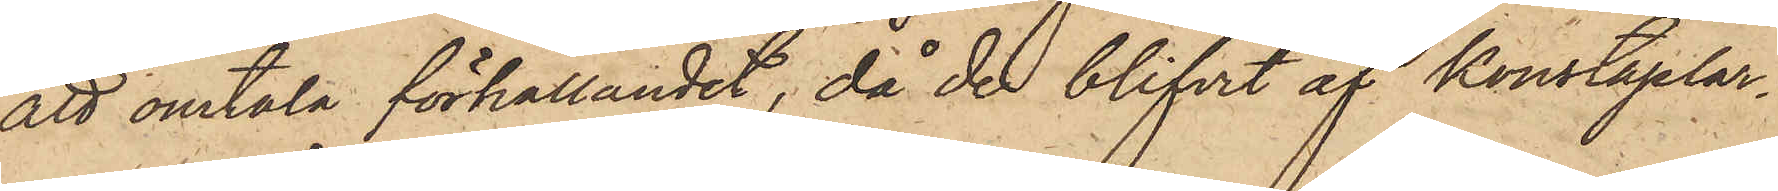att omtala förhållandet, då de blifvit af konstaplar¬
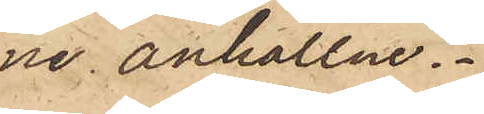ne anhållne.
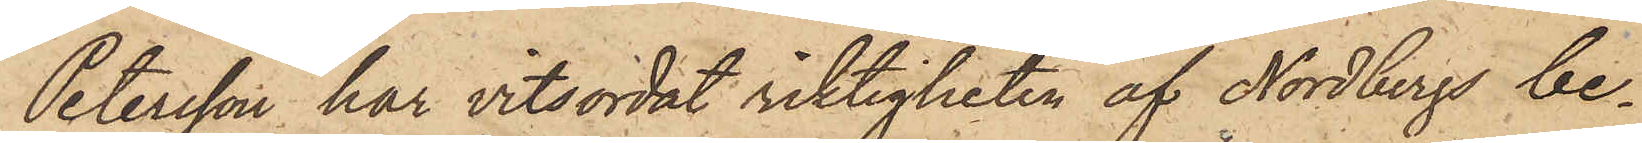Petersson har vitsordat riktigheten af Nordbergs be¬
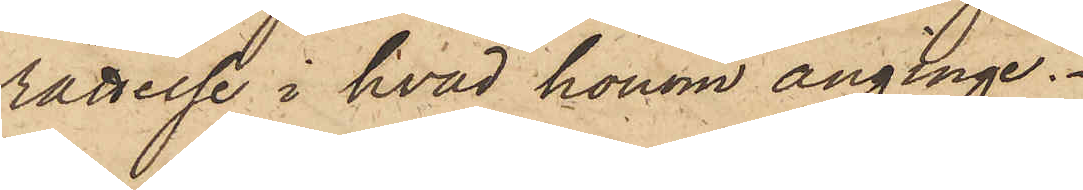rättelse i hvad honom anginge.
